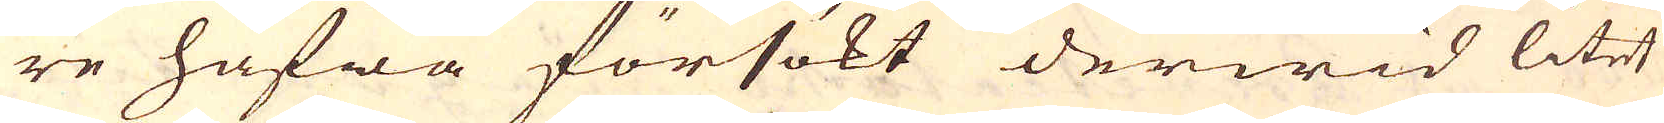re hafwa försökt derwid litet
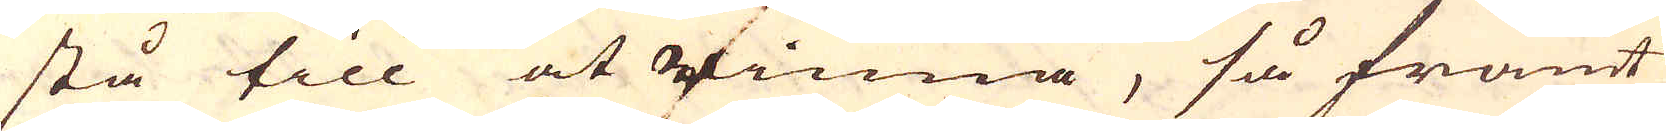stå till at finna, så framt
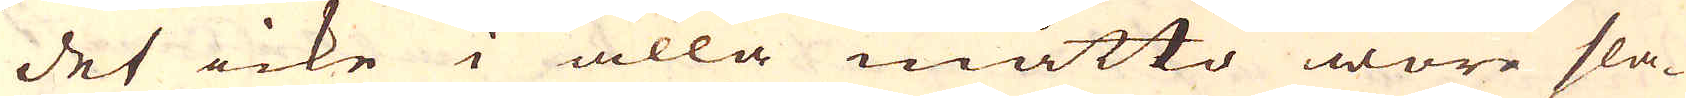det icke i alla måtto wore sla-
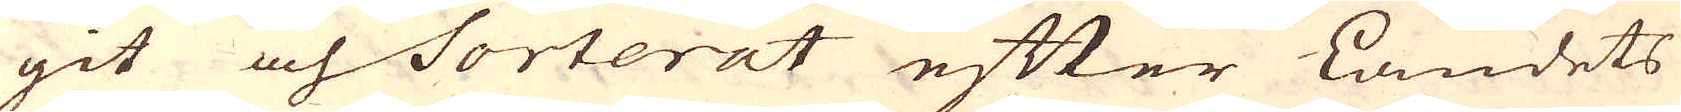git och Sorterat efter Landets
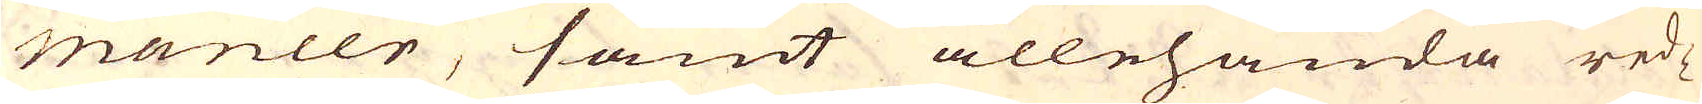maneer, samt allehanda red-
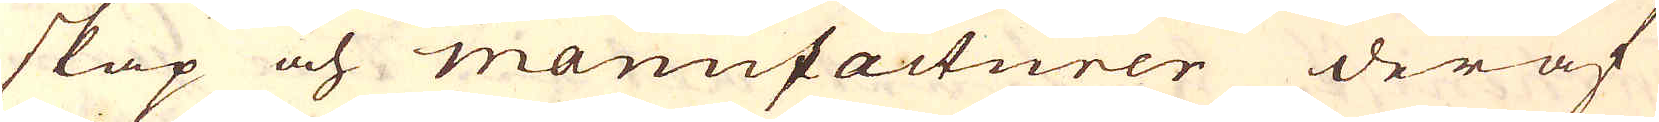skap och manufacturer deraf
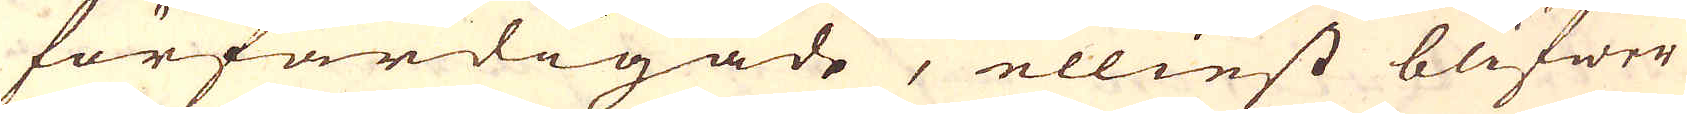förfärdigade, elliest blifwer
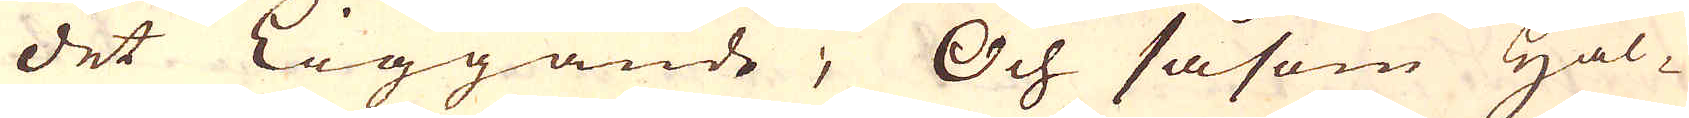det liggande; Och såsom Hål-
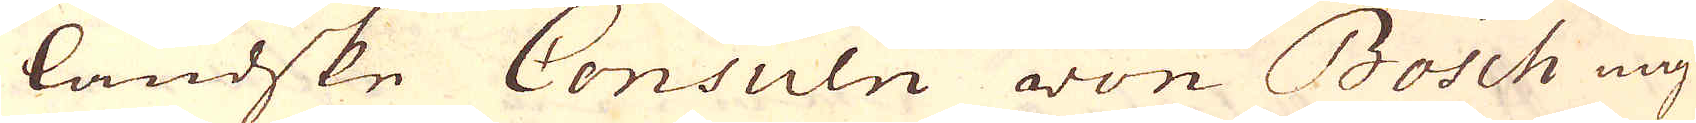ländske Consuln von Bosch mig-
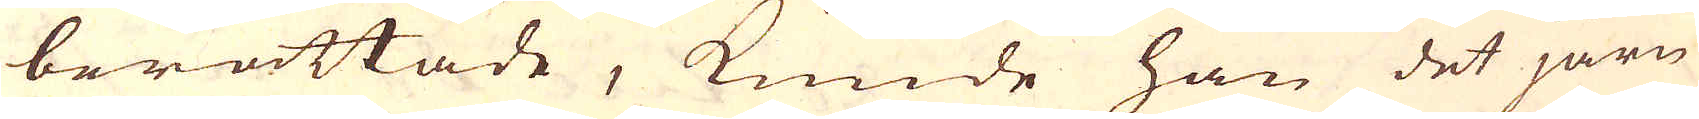berättade, kunde han det järn
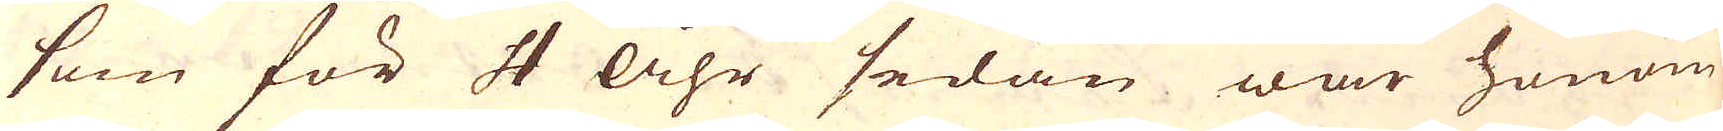som för 4 Åhr sedan war honom
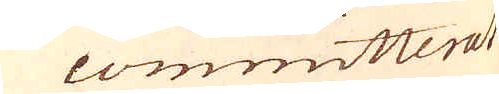committerat
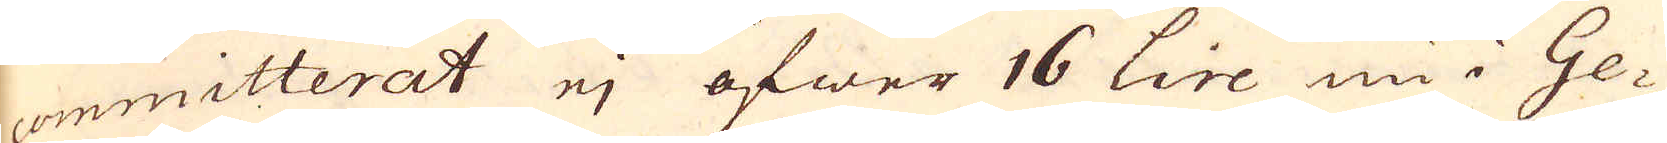committerat ej öfwer 16 Lire nu i Ge-
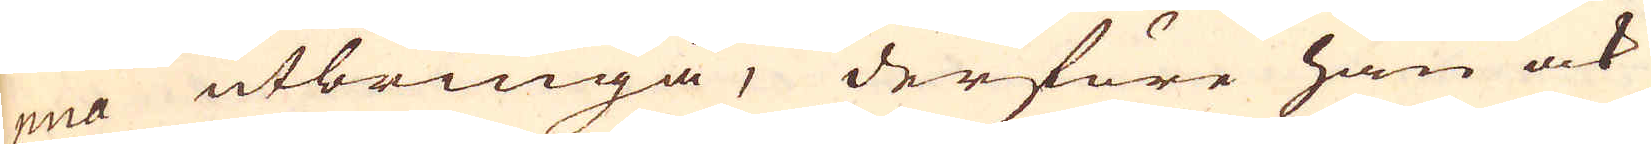nua utbringa, derföre han ock
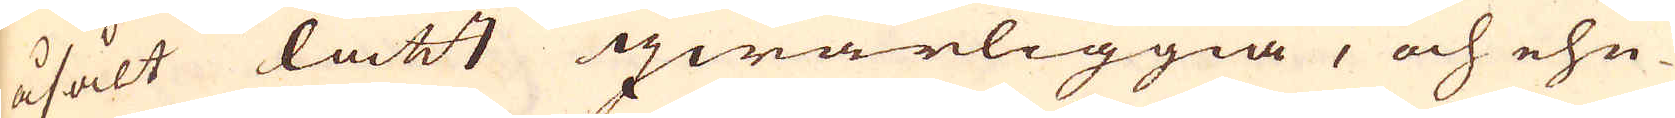åsålt lätt qwarliggia, och ehu-
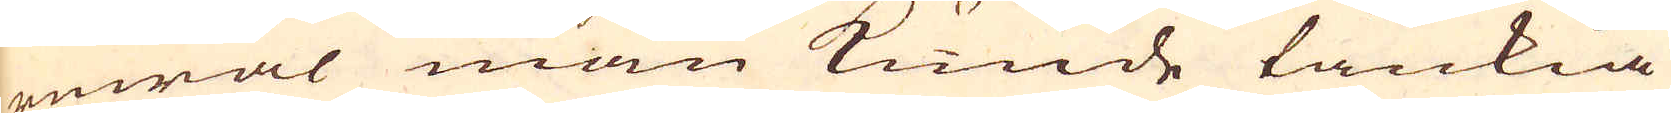ruwäl man kunde tänkia
